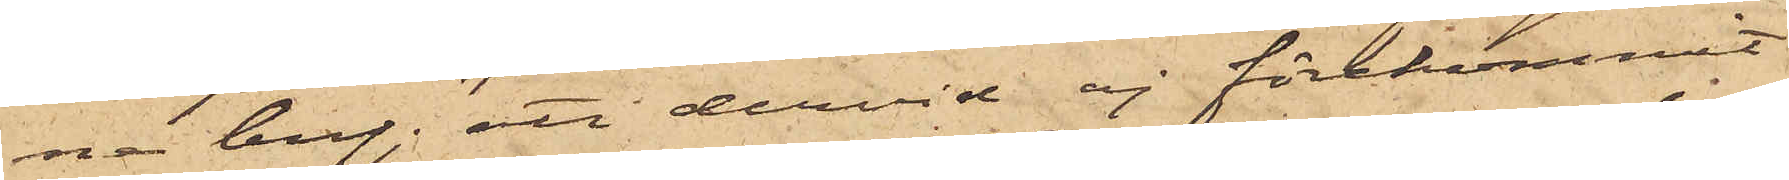ne bref; att dervid ej förekommit
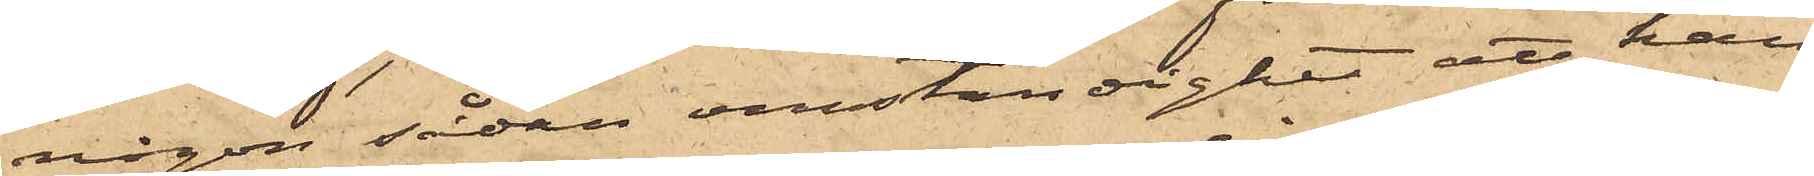någon sådan omständighet att han
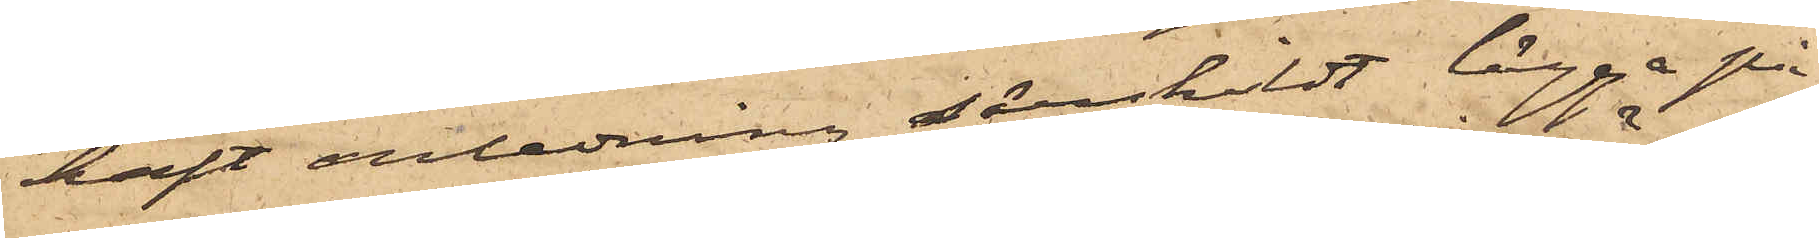haft anledning särskildt lägga på
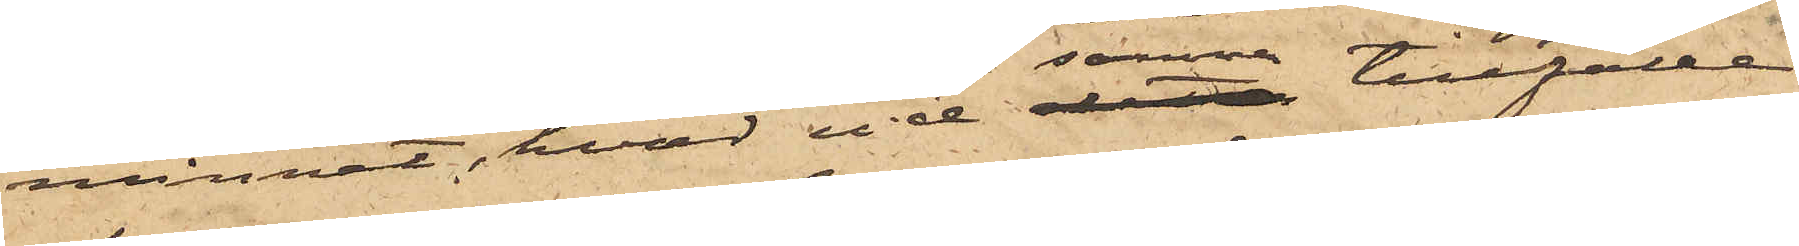minnet, hvad vid detta samma tillfälle
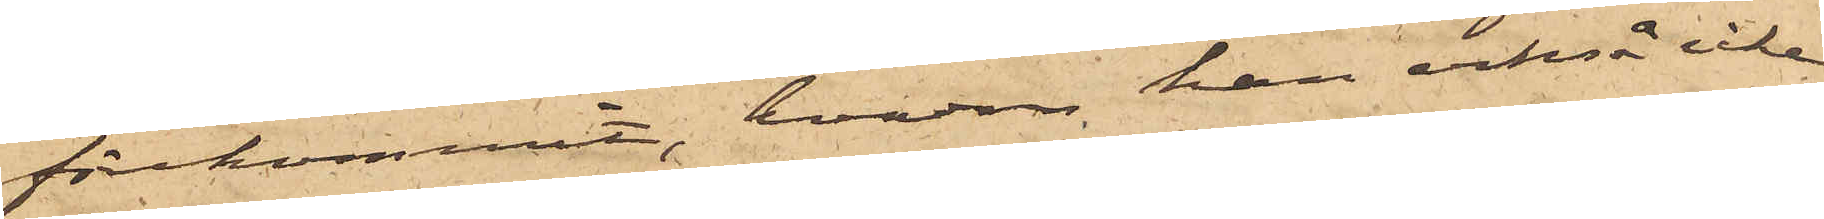förekommit, hvadan han alltså icke
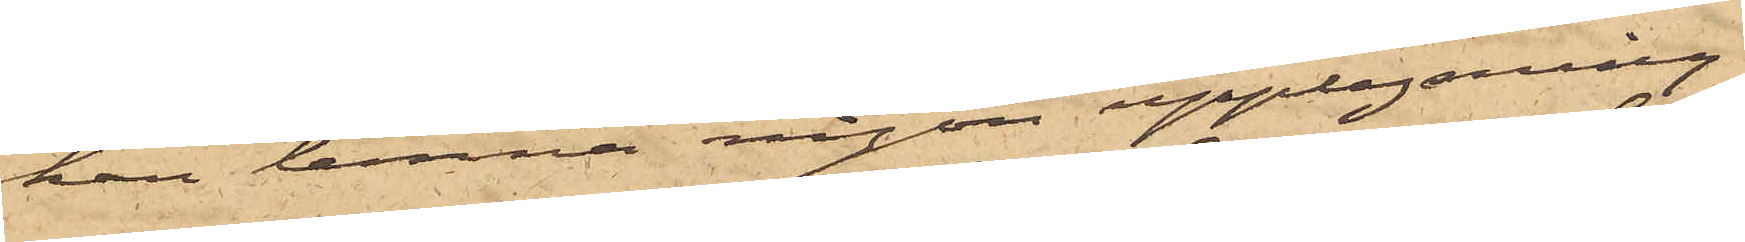han lemna någon upplysning
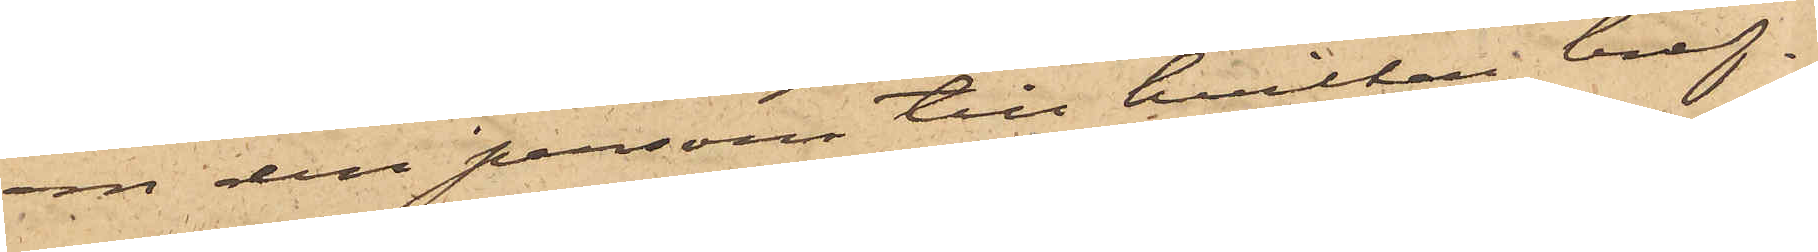om den person till hvilken bref¬
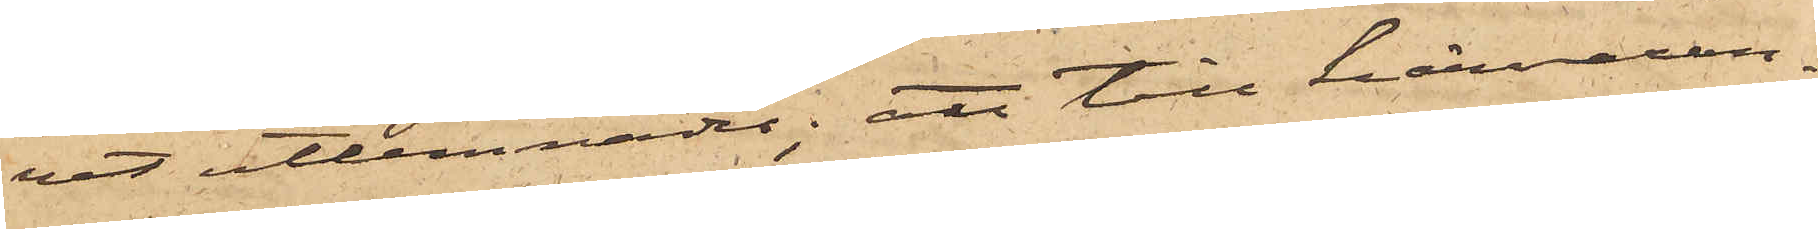vet utlemnades; att till härvaran¬
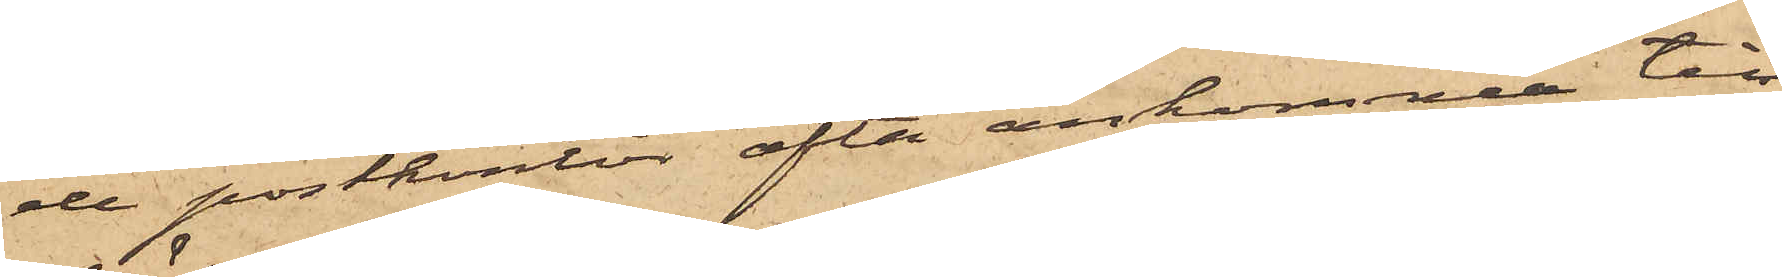de postkontor ofta ankomma till
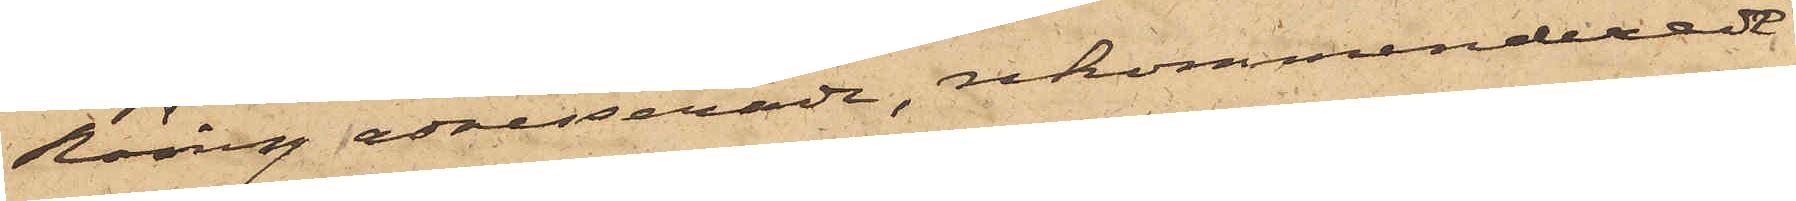Röing adresserade, rekommenderade
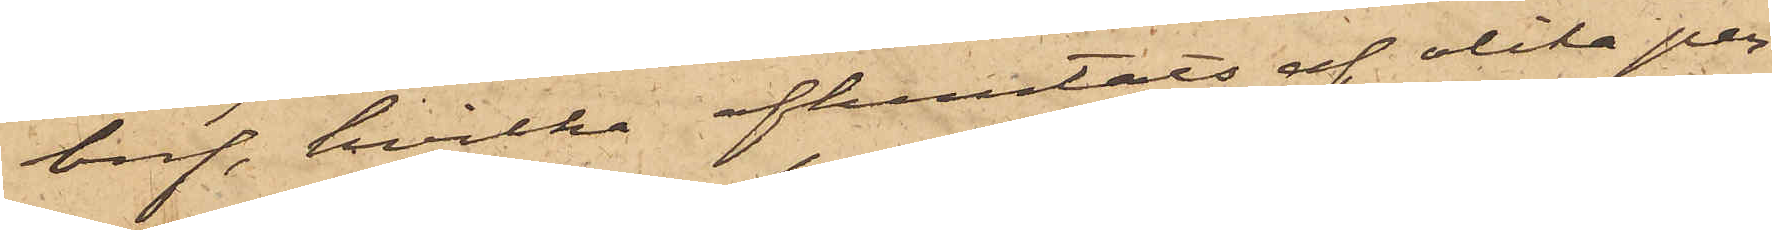bref, hvilka afhemtats af olika per¬
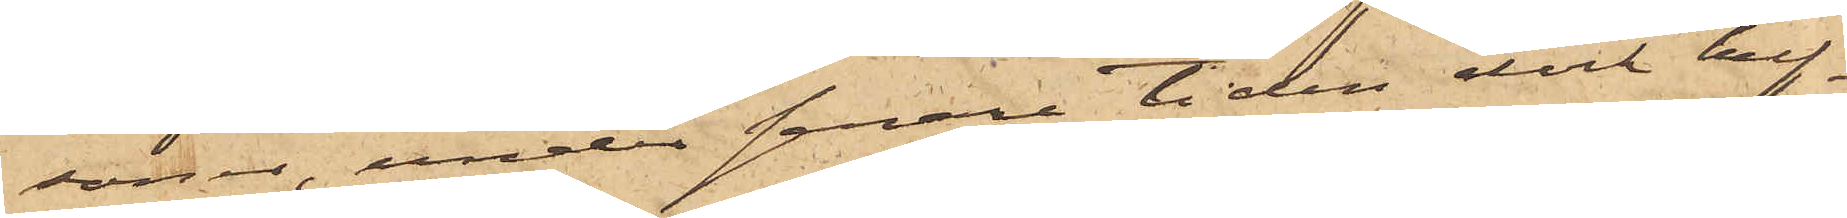soner, under senare tiden dock huf¬
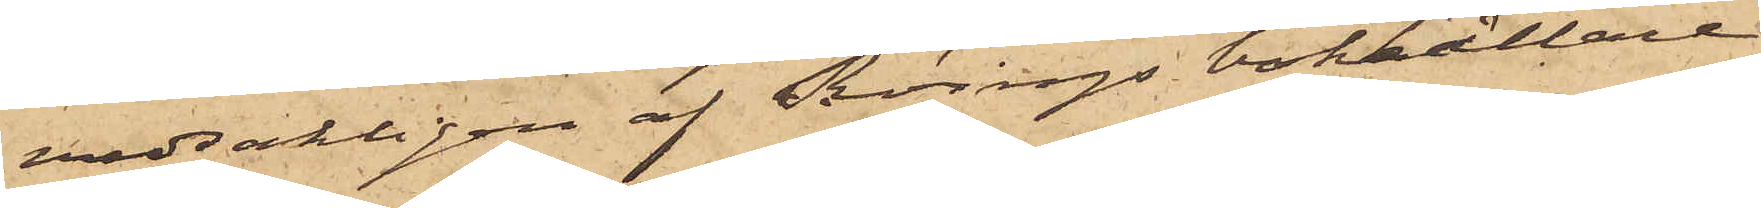vudsakligen af Röings bokhållare
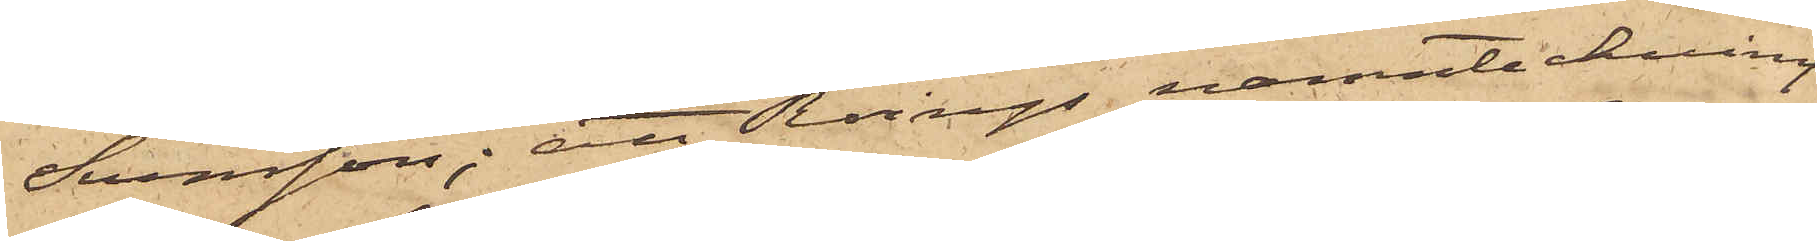Svensson; att Röings namnteckning
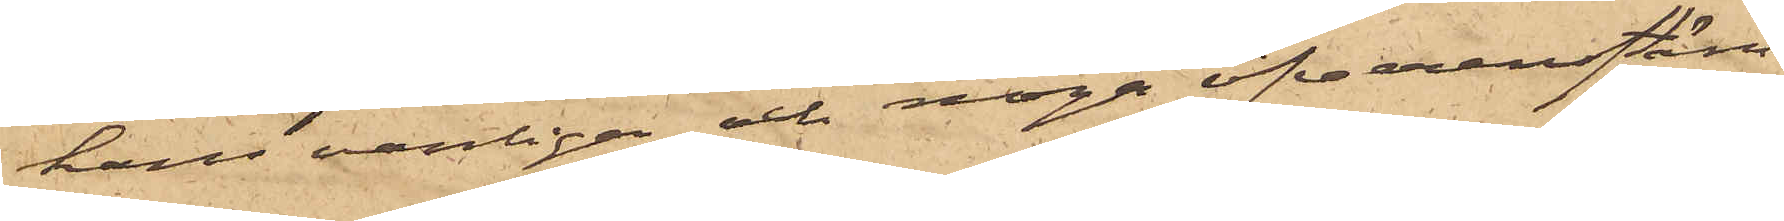hans vanliga och noga öfverensstäm¬
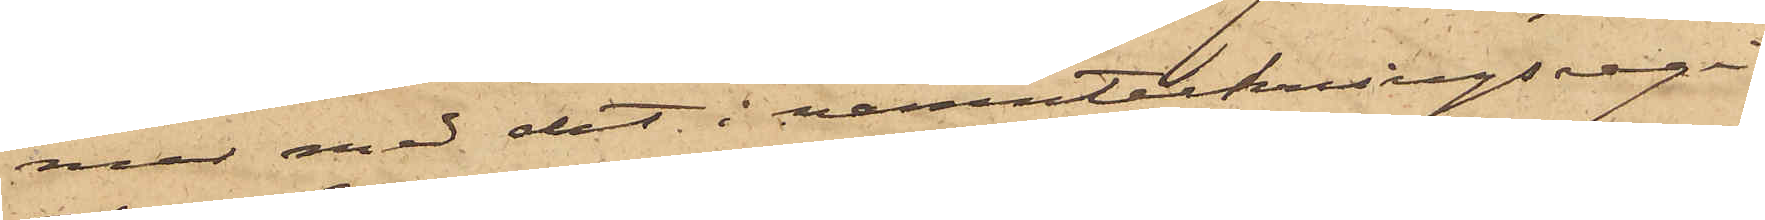mer med det i namnteckningsregi¬
